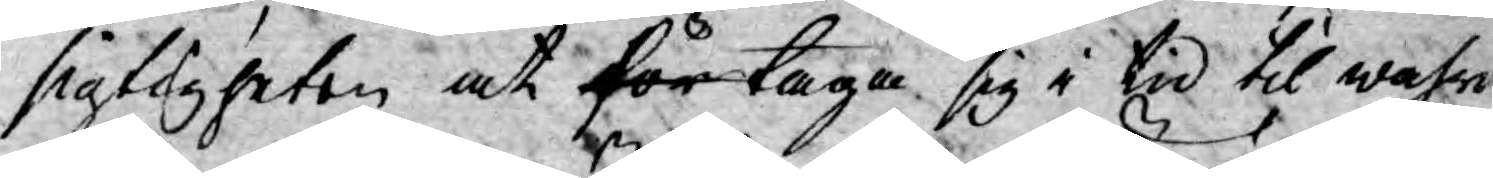sigtigheten at för taga sig i tid til wahr¬
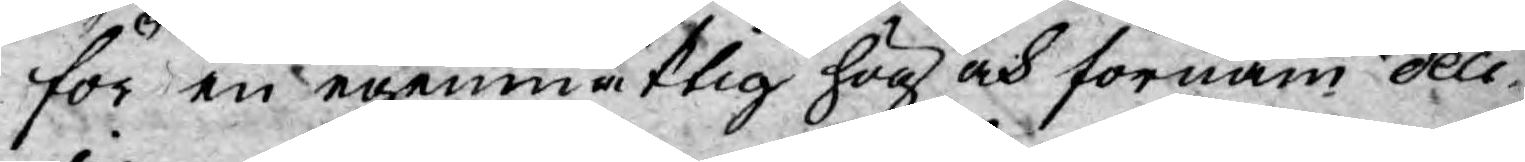för en egenmäktig hög och förnäm deci-
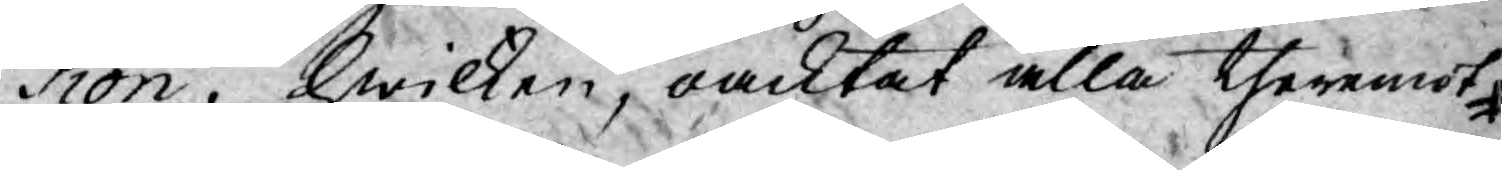sion, hwilken, oacktat alla theremot
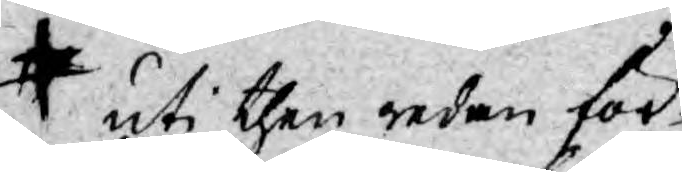uti then redan för¬
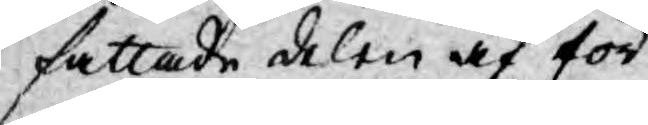fattade delen af för¬
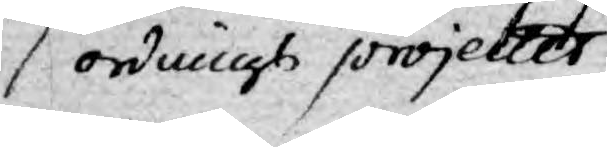ordnings projectet
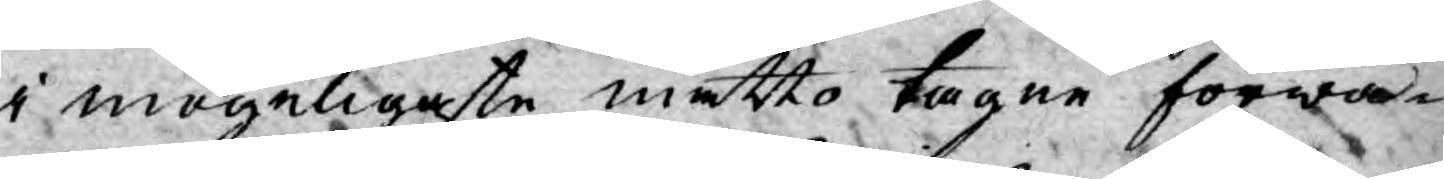i mögeligaste måtto tagne förwa¬
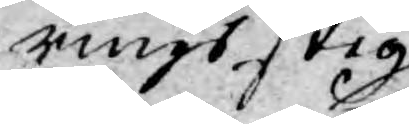rings stig
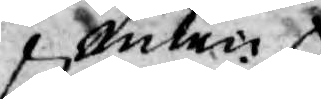men
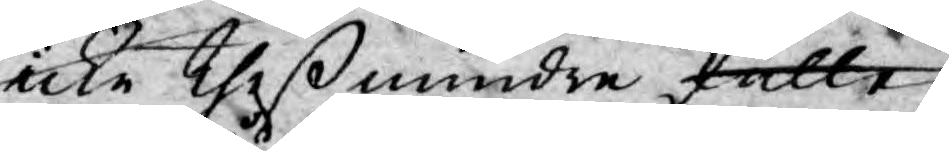icke theß mindre skulle
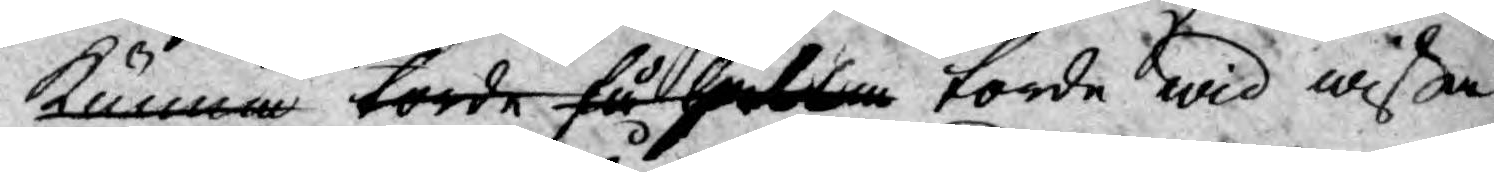kunna torde få hålla torde wid wißa
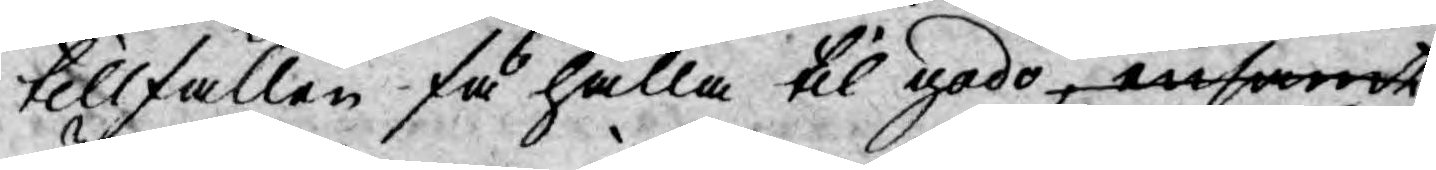tillfällen få hålla til godo,ensamt
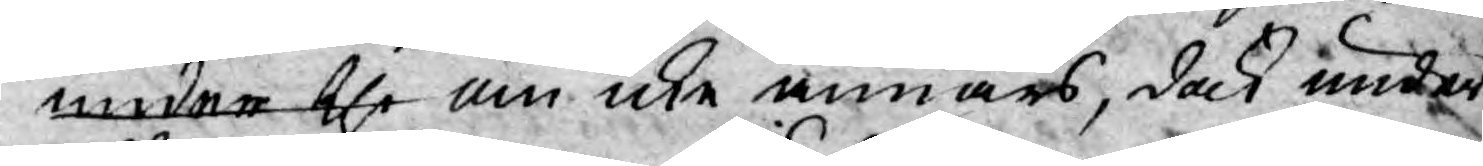under the än icke annars, dock under
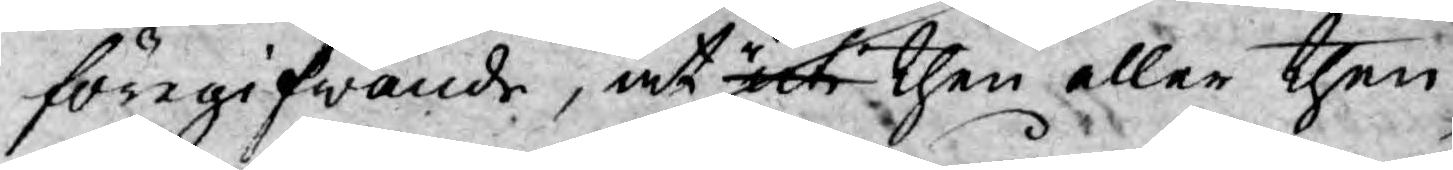föregifwande, at uti then eller then
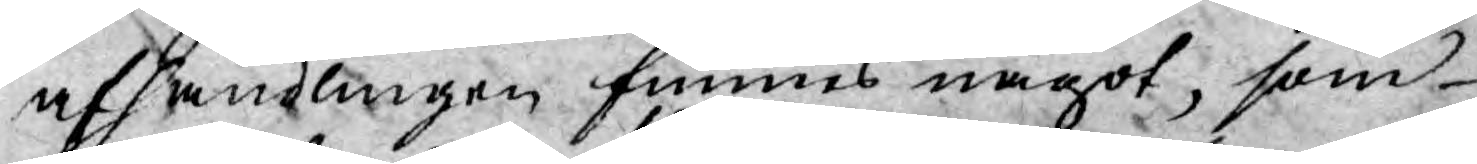afhandlingen funnes något, som
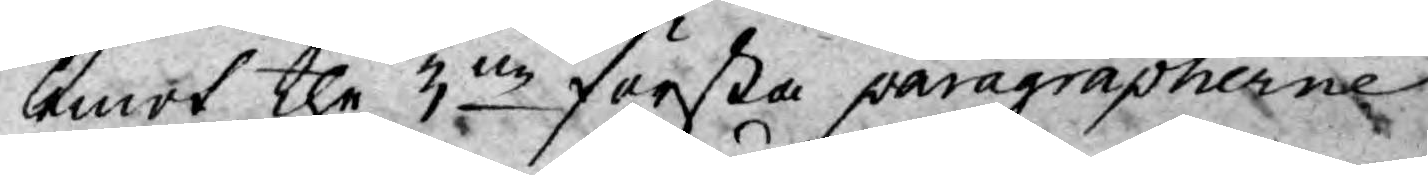emot the 3ne första paragrapherne
